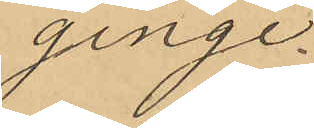ginge.
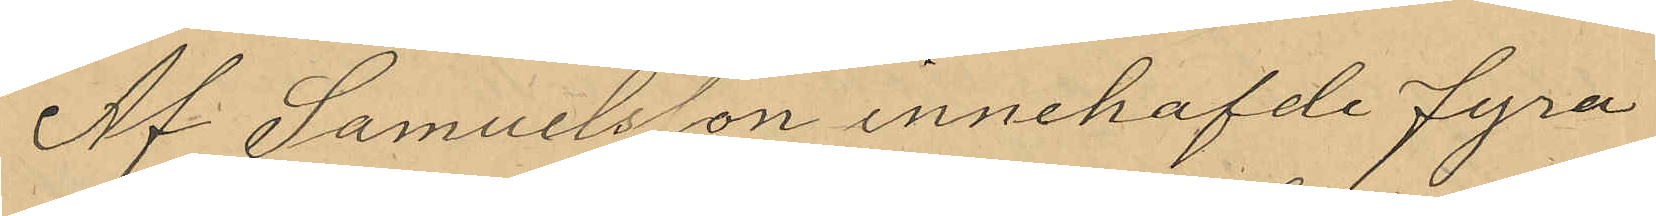Af Samuelsson innehafvde fyra
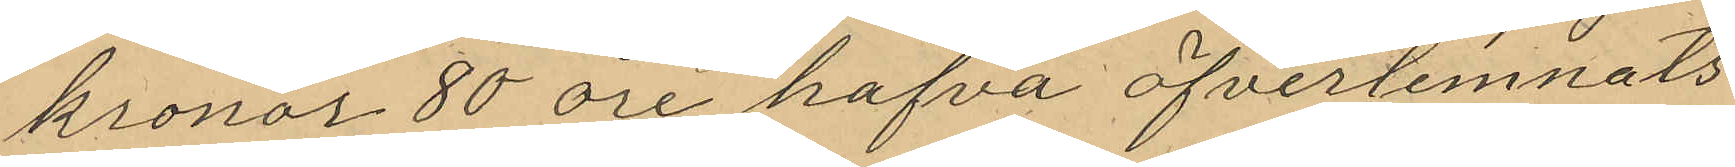kronor 80 öre hafva öfverlemnats
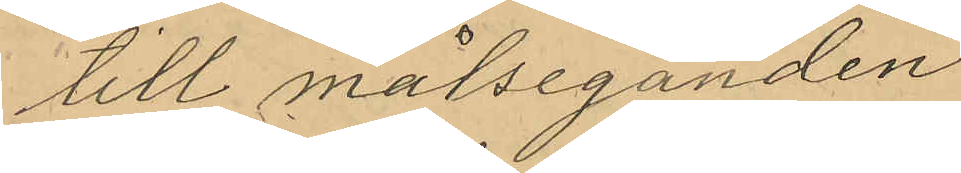till målseganden.
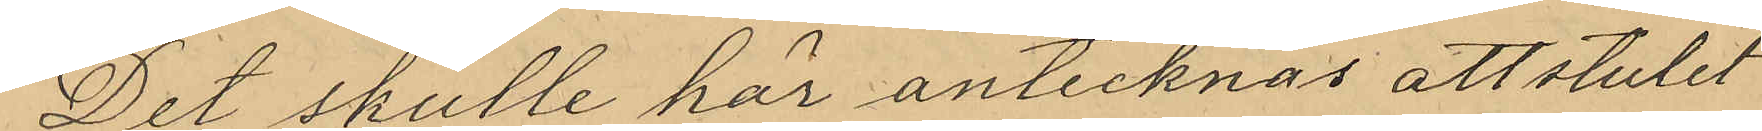Det skulle här antecknas att stulet
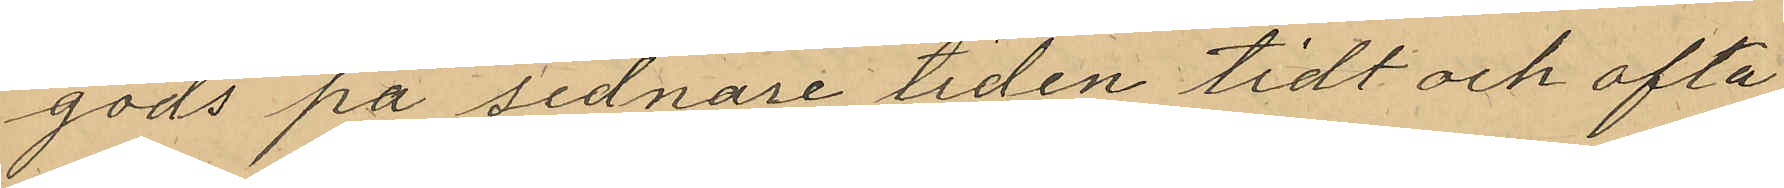gods på sednare tiden tidt och ofta
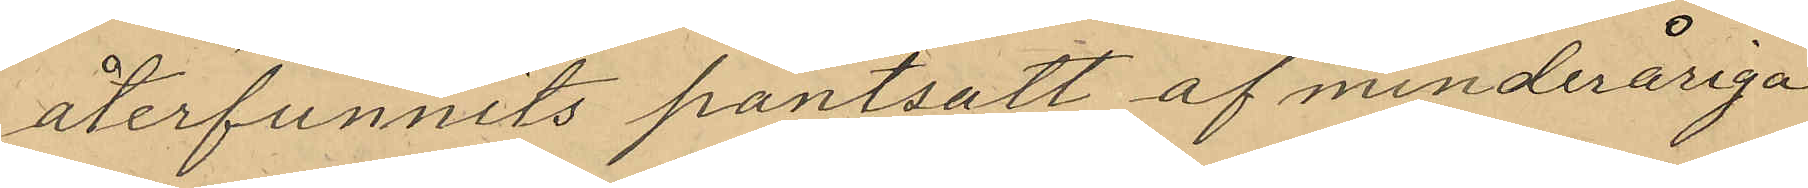återfunnits pantsatt af minderåriga
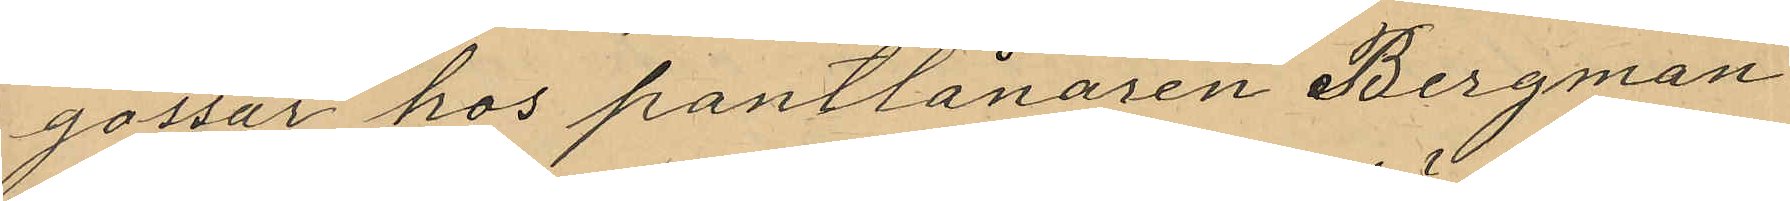gossar hos pantlånaren Bergman
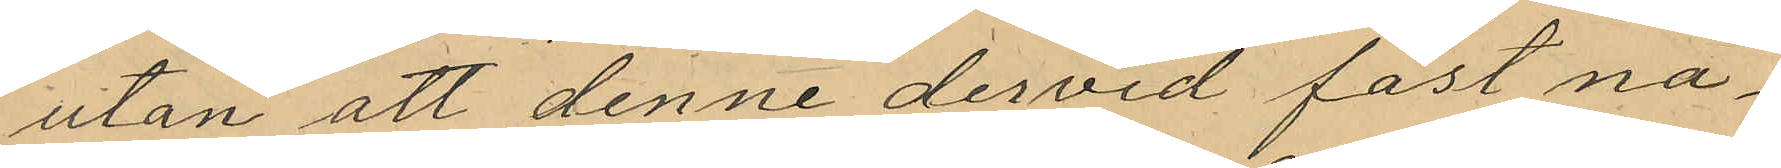utan att denne dervid fäst nå¬
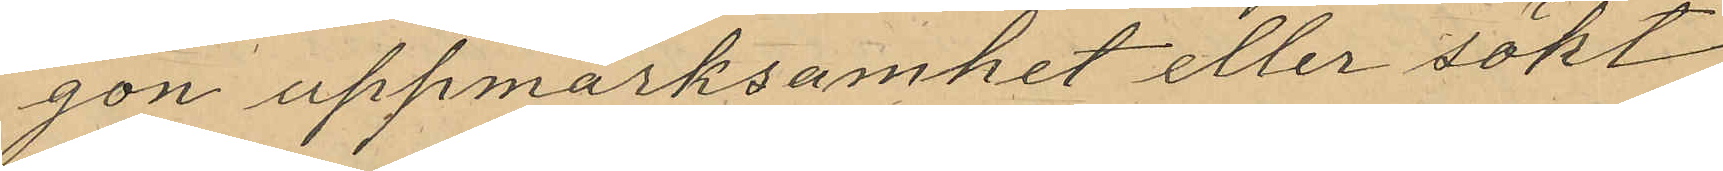gon uppmärksamhet eller sökt
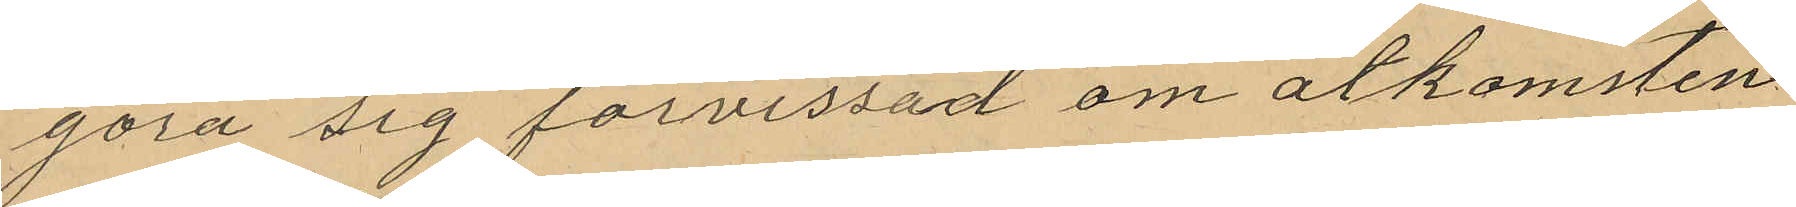göra sig förvissad om åtkomsten
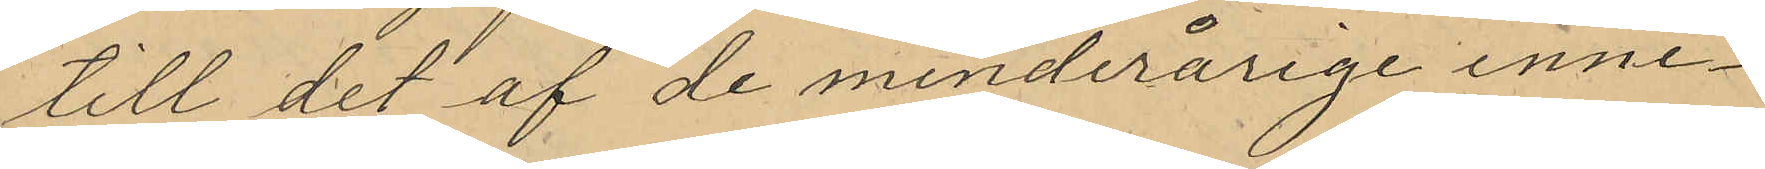till det af de minderårige inne¬
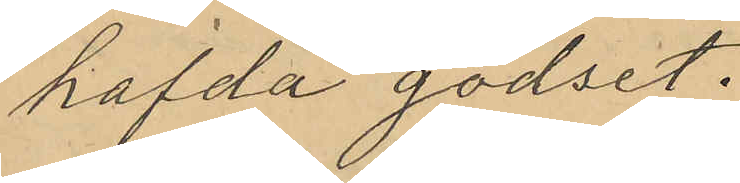hafda godset.
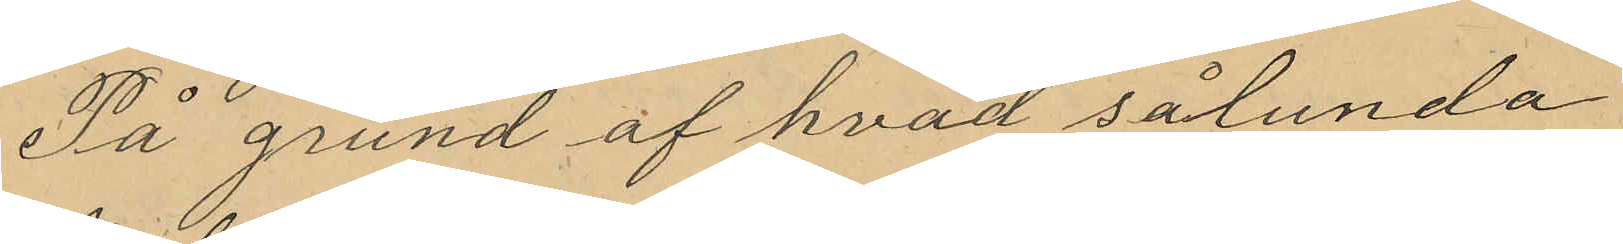På grund af hvad sålunda
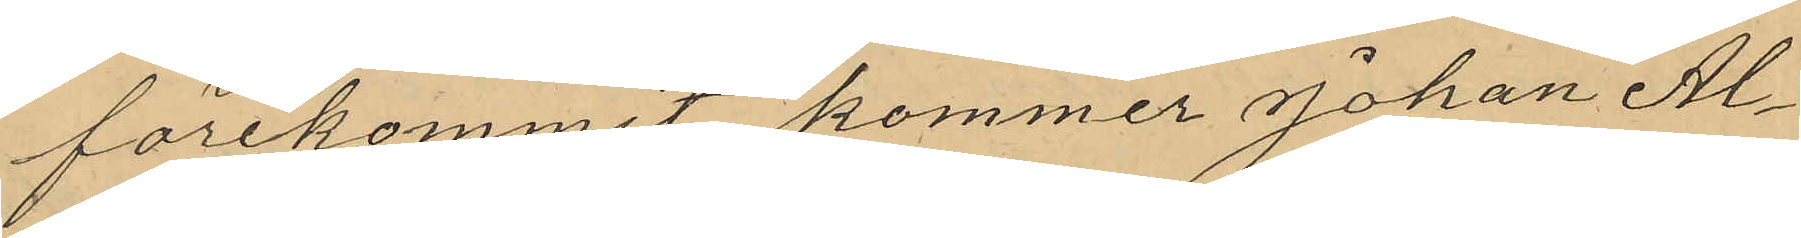förekommit kommer Johan Al¬
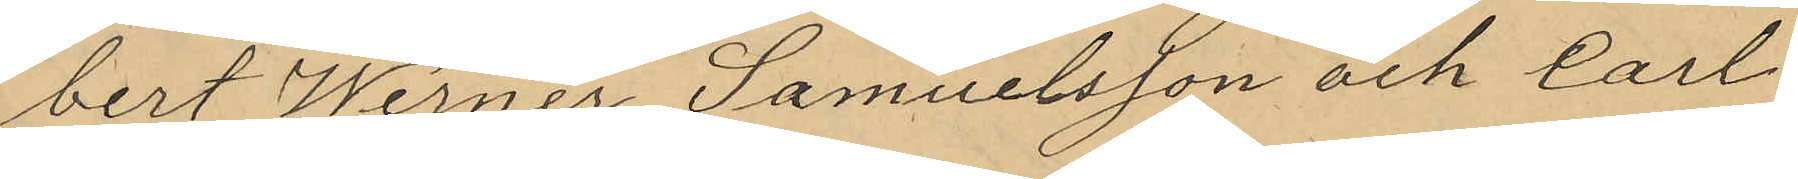bert Werner Samuelsson och Carl
